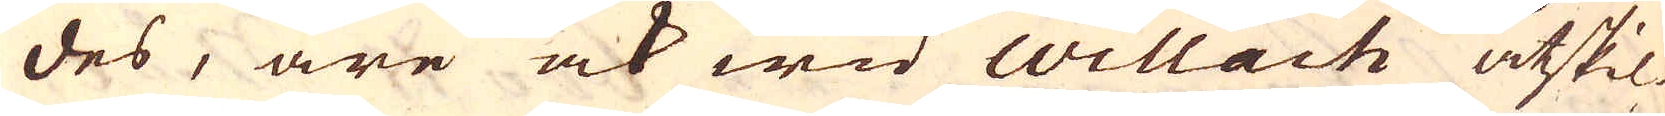des, äre ock wid Willach åtskil-
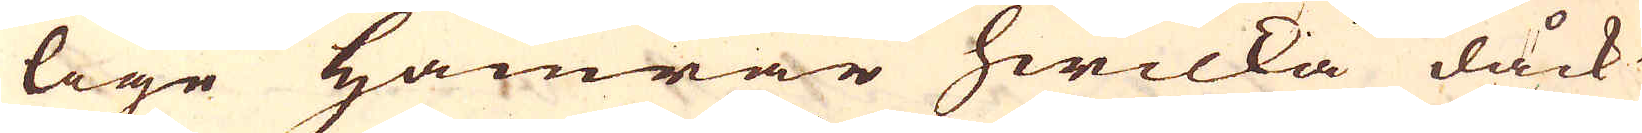lige Hamrar hwilka dåck
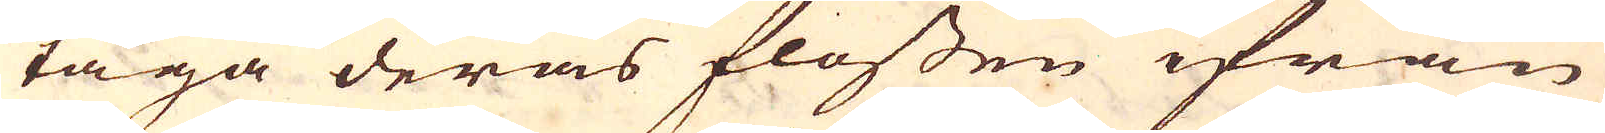taga deras flossen ifrån
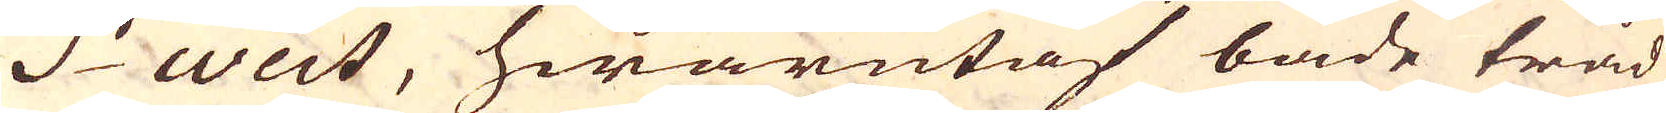S:t Weit, hwarutaf både tråd
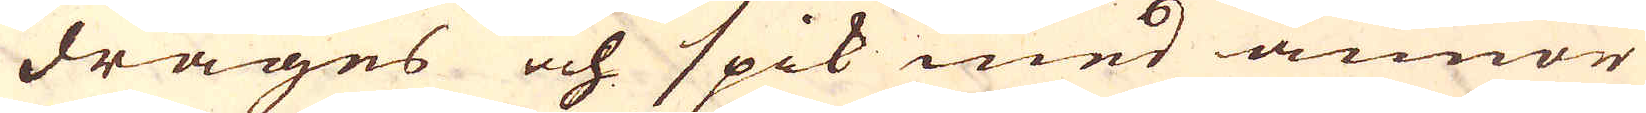drages och spik med annor
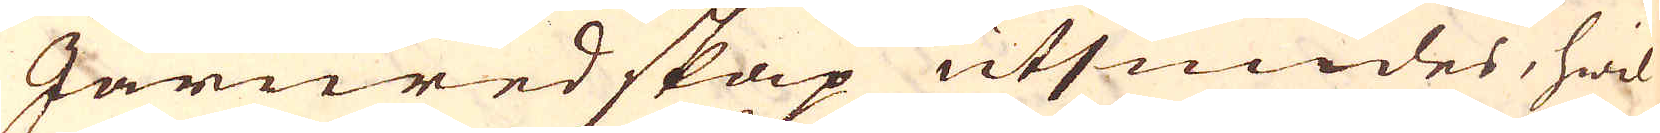Järnredskap utsmides, hwil-
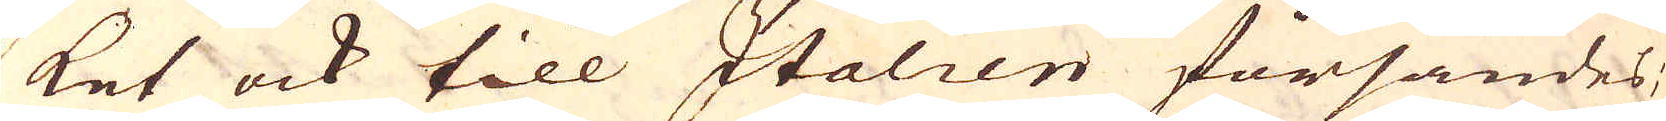ket ock till Italien försändes;
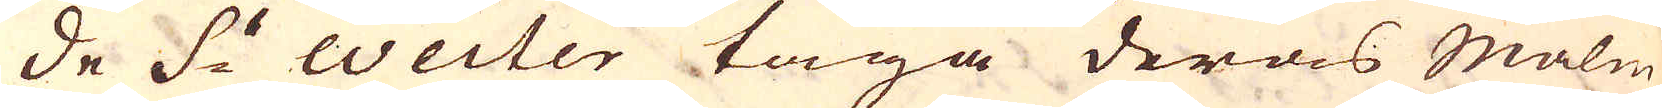de S:t Weiter taga deras Malm
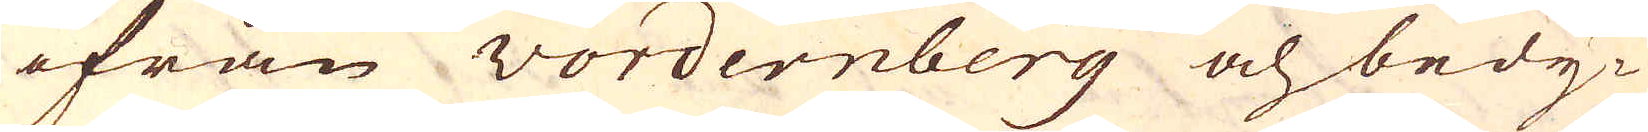ifrån Vordernberg och bedy-
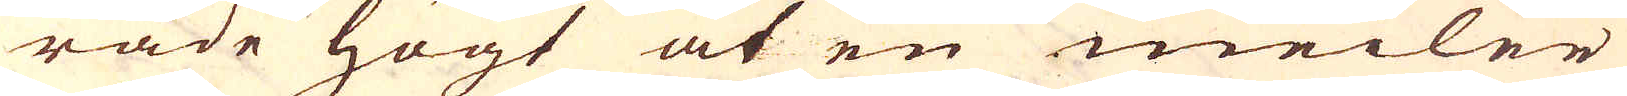rade högt at en meiler
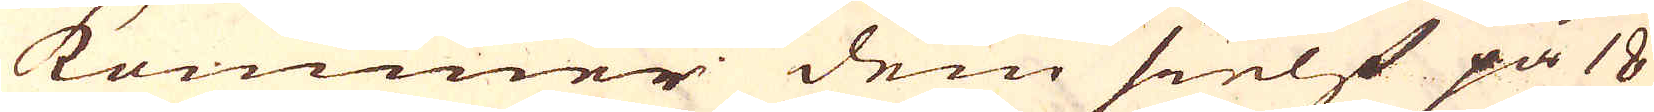kommer dem sielf på 18
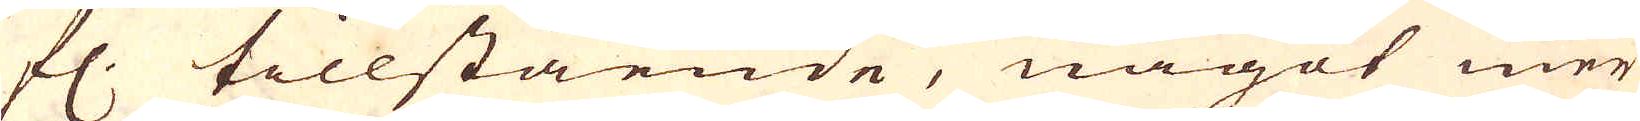fl. tillstående, något mer
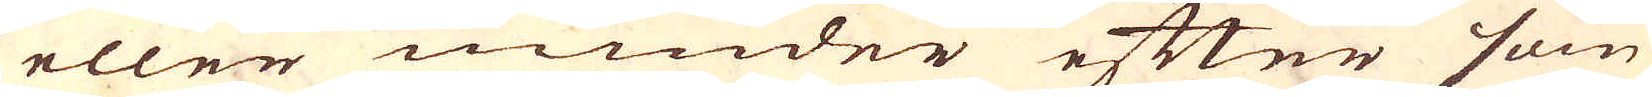eller minder efter som
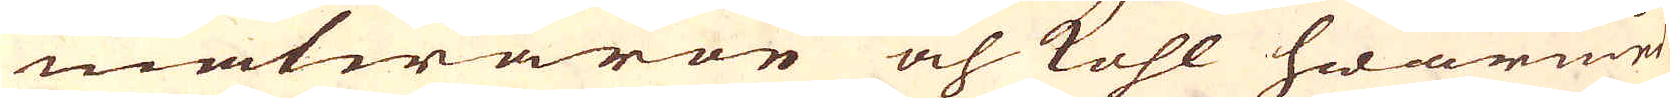matwaron och kohl hwarmed
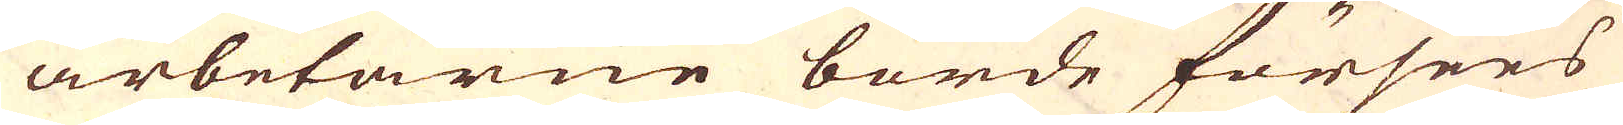arbetarne borde försees
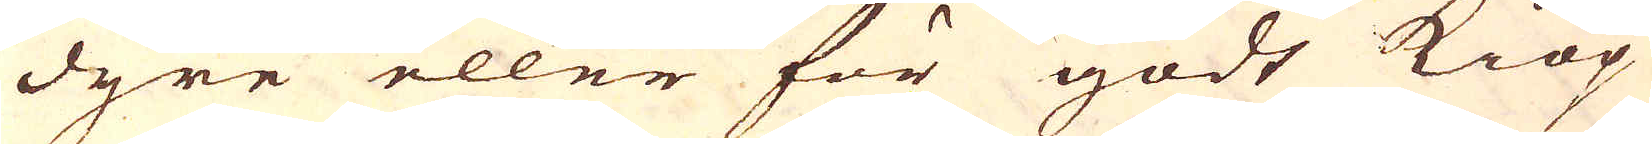dyre eller för godt kiöp
